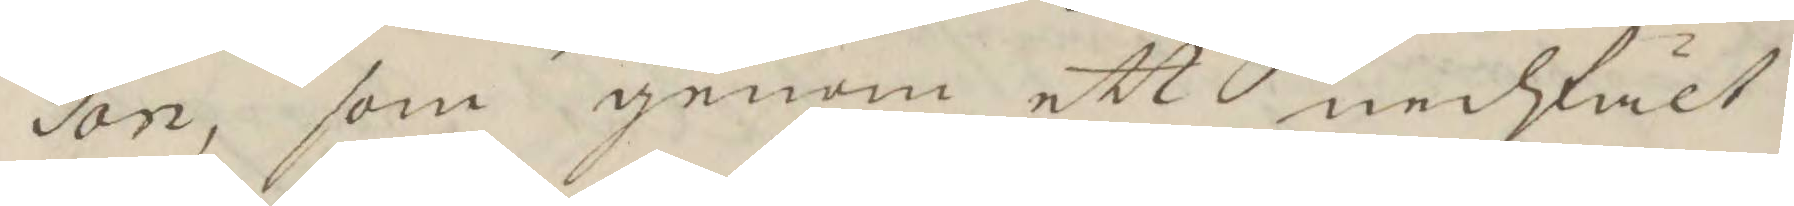son, som genom ett nedfält
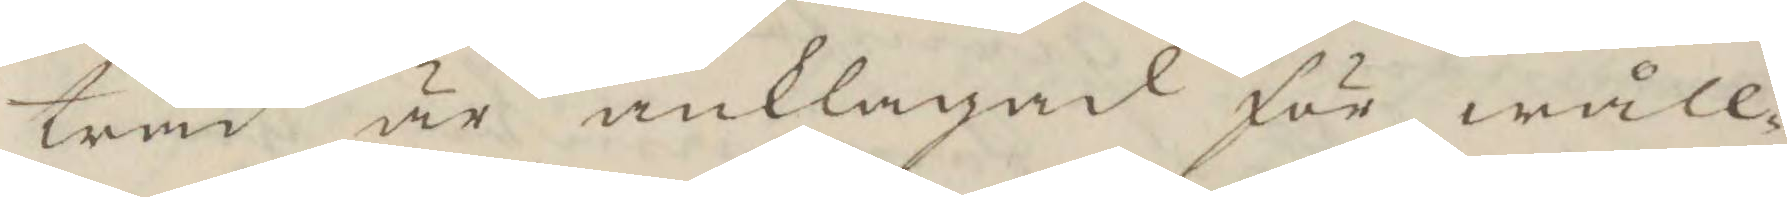träd är anklagad för wåll¬
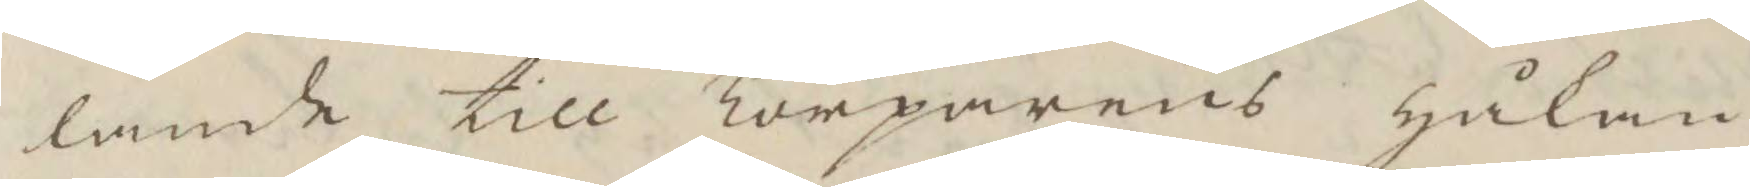lande till Torparens Håkan
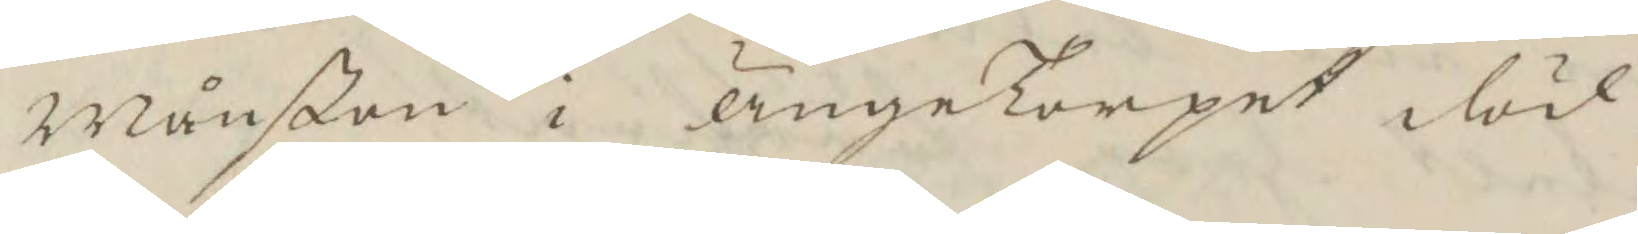Månßon i ÄngeTorpet död.
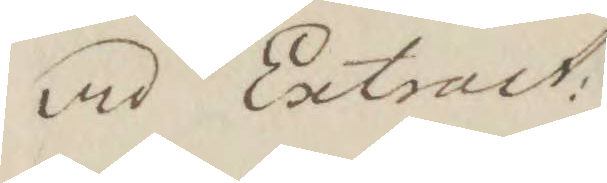med Extract.
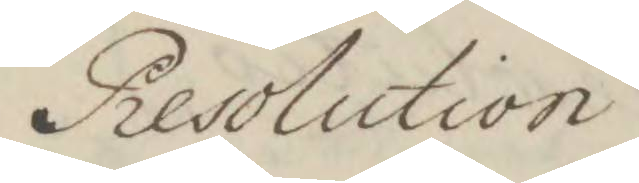Resolution
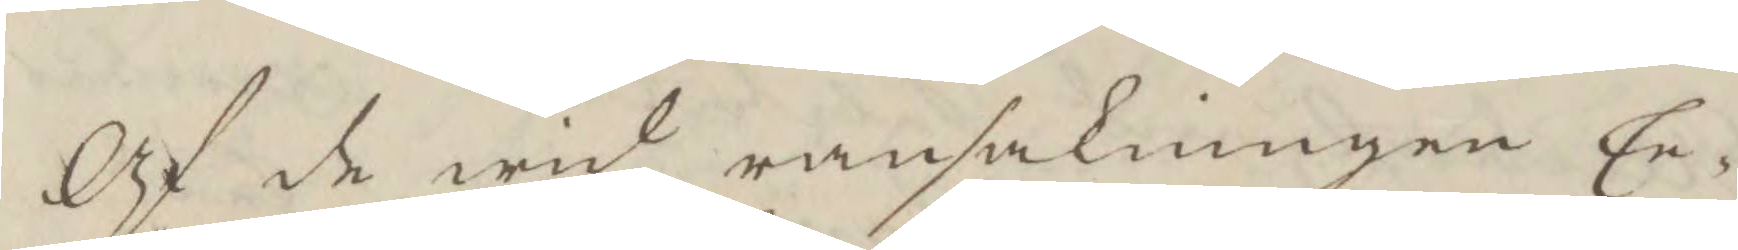Af de wid ransakningen Ee¬
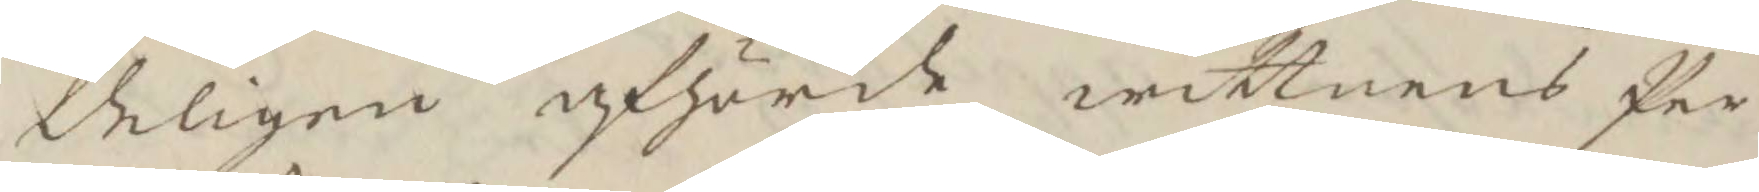deligen afhörde wittnens Per
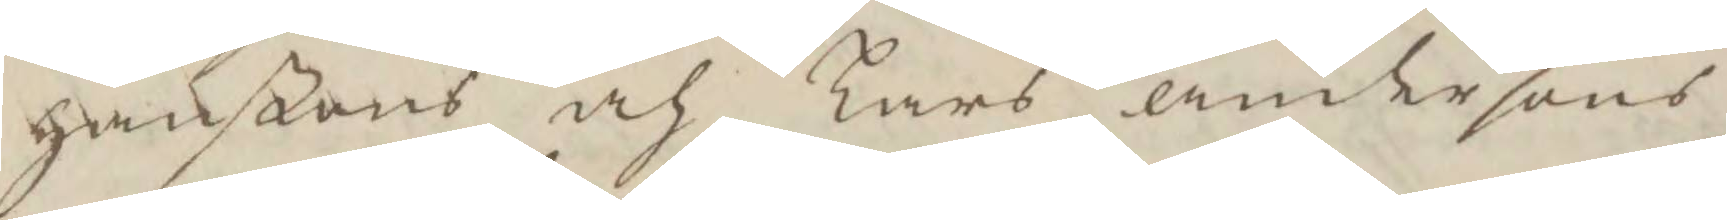Hanßons och Lars andersons
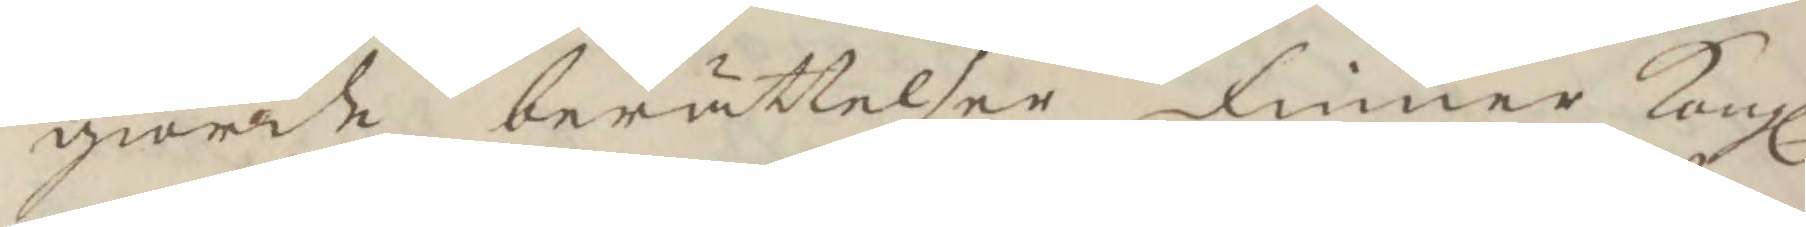giorde berättelser finner Kongl.
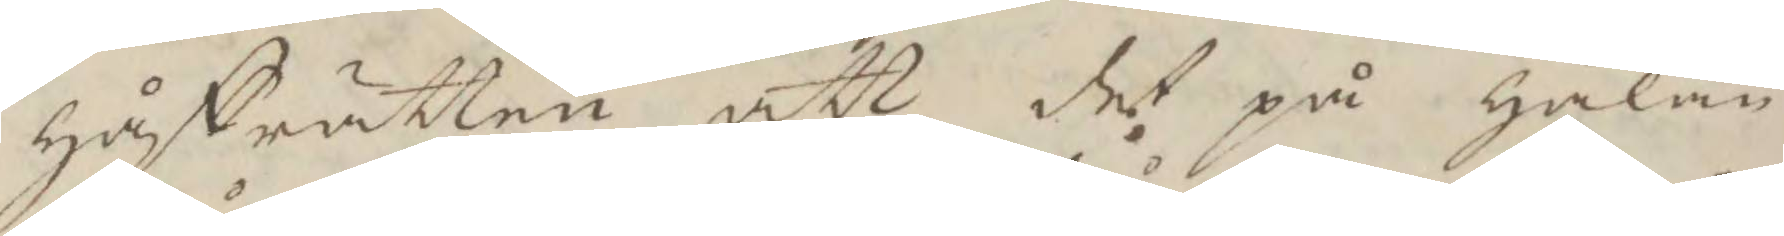håffrätten att det på Håkan
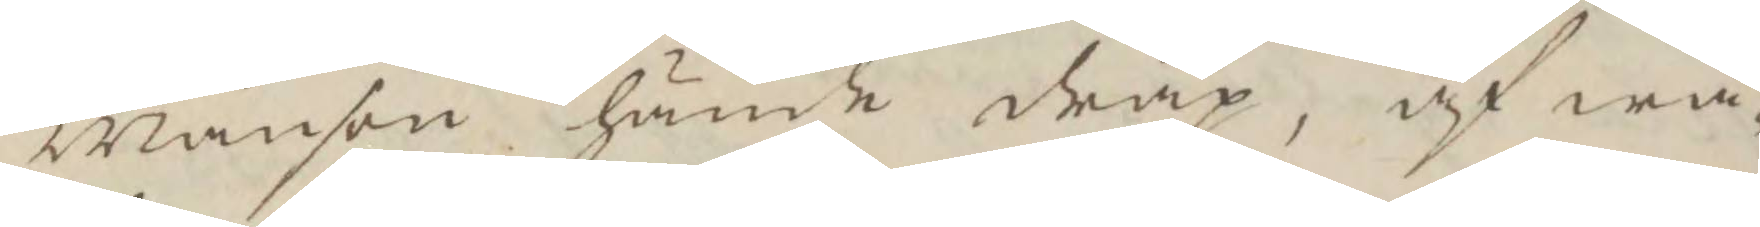Månson hände dråp, af wå¬
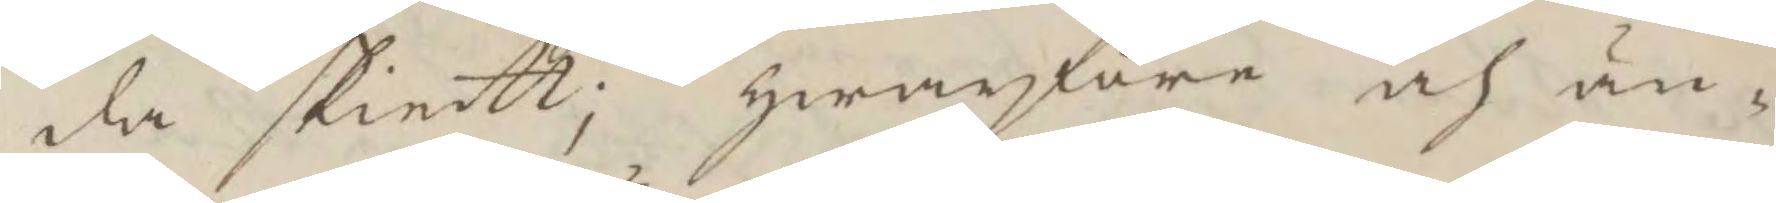da skeitt; hwarföre och än¬
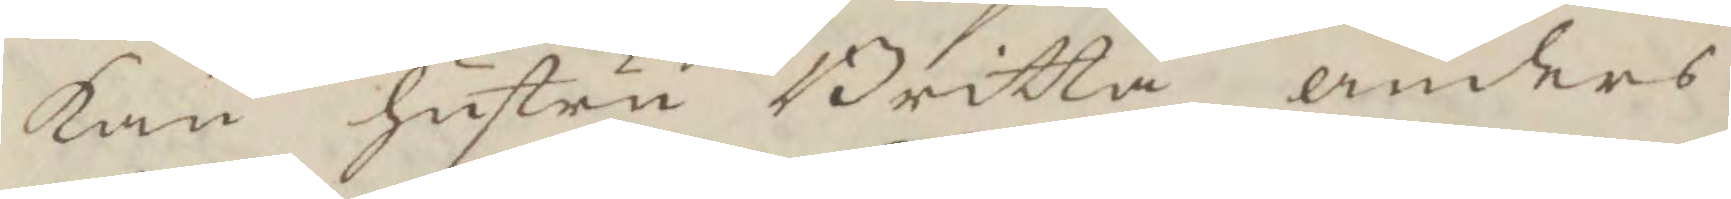kan hustru Britta anders¬
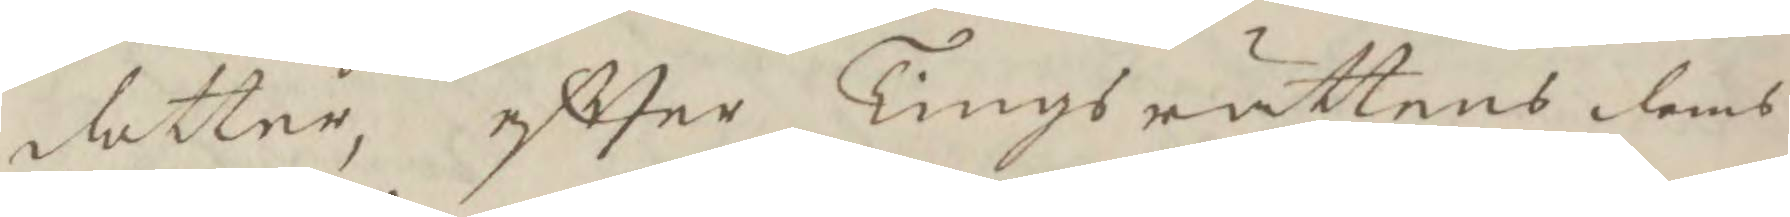dotter, efter Tingsrättens domb
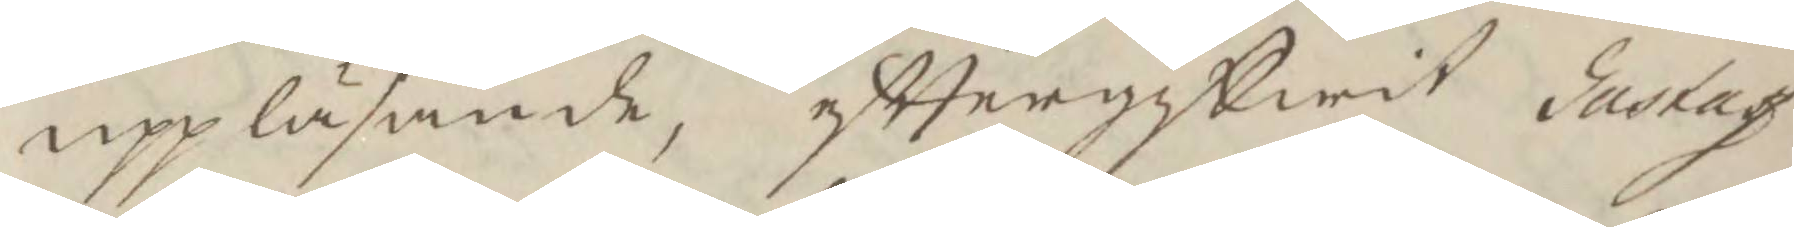uppläsande, efttergifwit Gustaf
